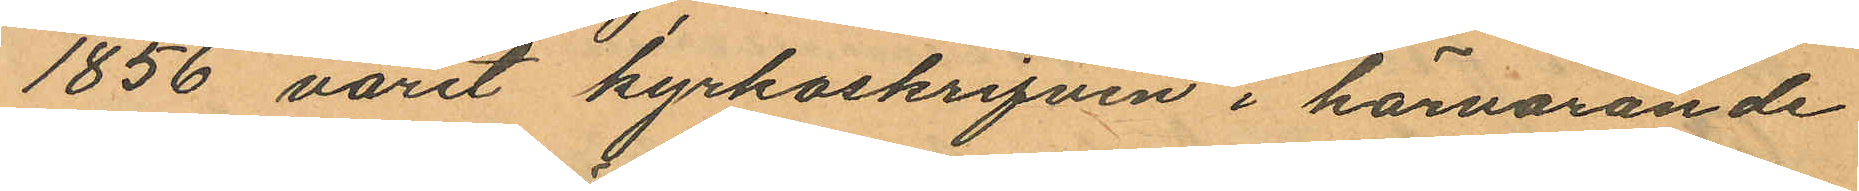1856 varit kyrkoskrifven i härvarande
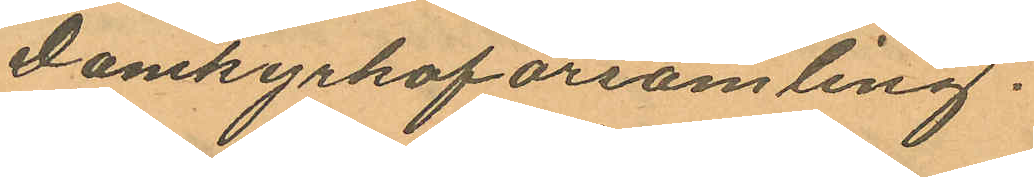Domkyrkoförsamling.
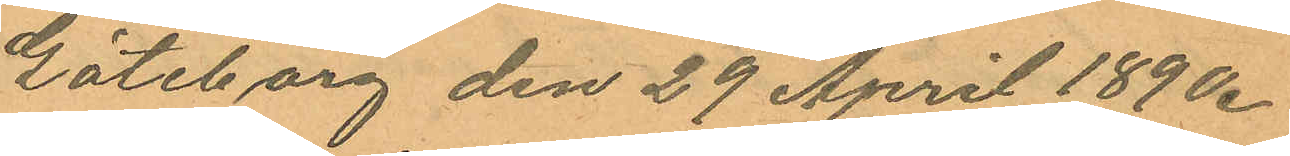Göteborg den 29 April 1890.
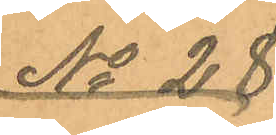No 28
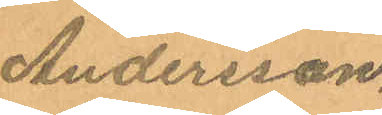Andersson.
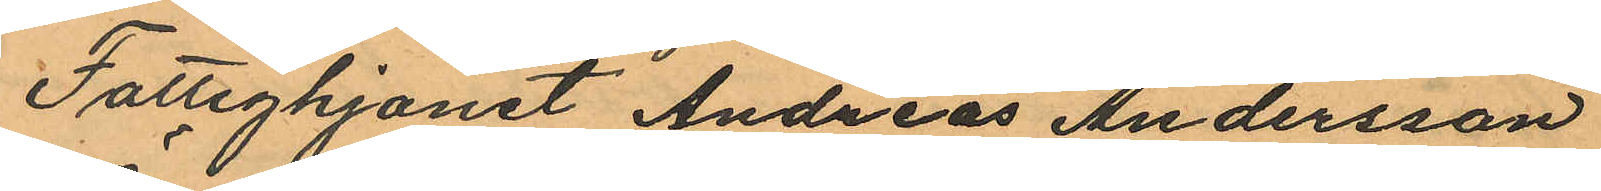Fattighjonet Andreas Andersson
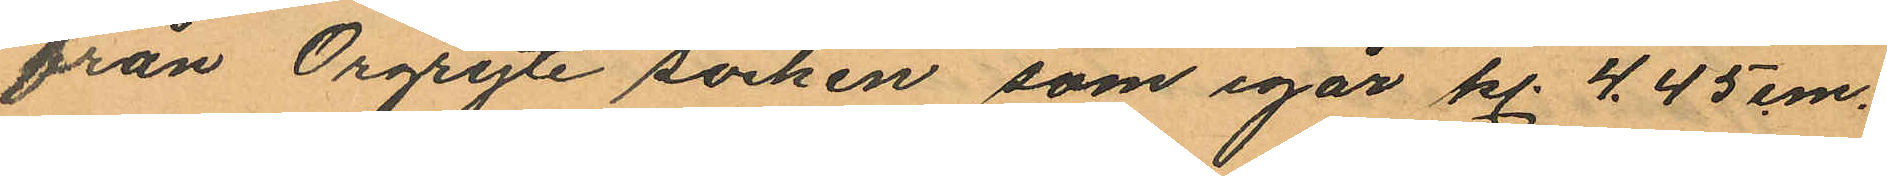från Örgryte socken, som igår kl. 4.45 em.
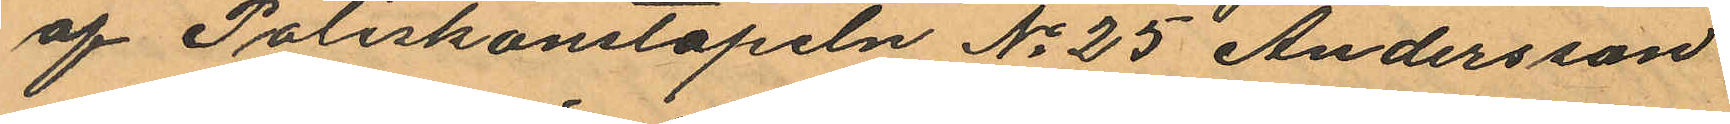af Poliskonstapeln No 25 Andersson
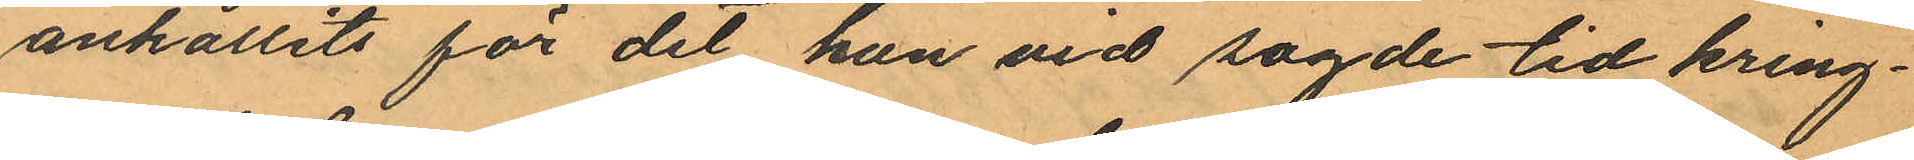anhållits för det han vid sagde tid kring¬
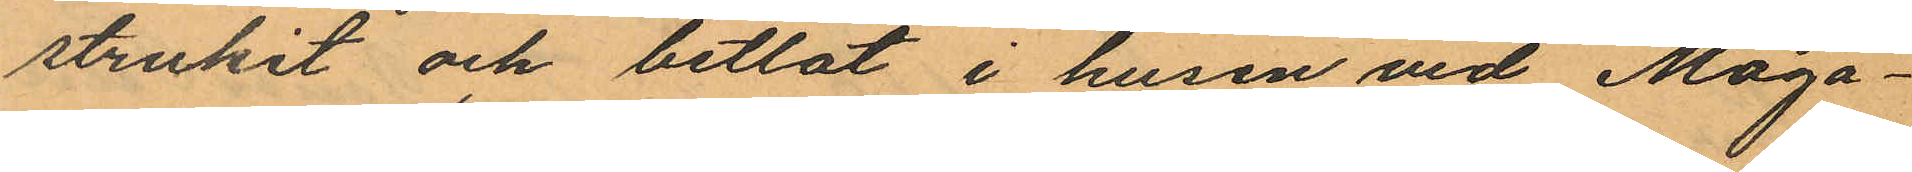strukit och betlat i husen vid Maga¬
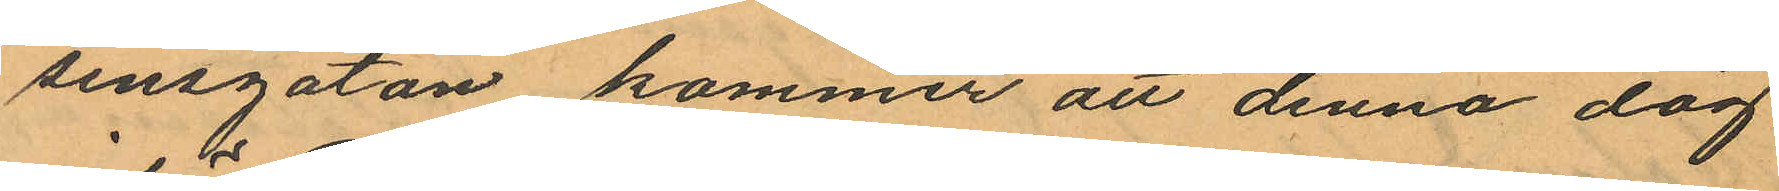sinsgatan, kommer att denna dag
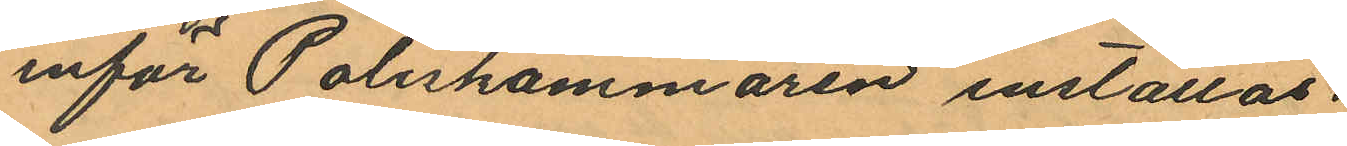inför Poliskammaren inställas.
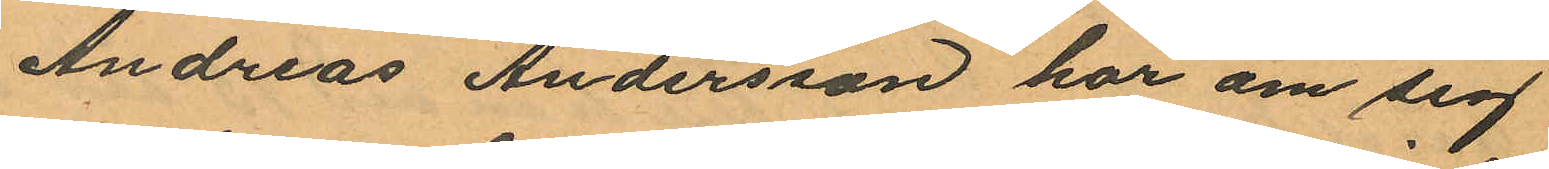Andreas Andersson har om sig
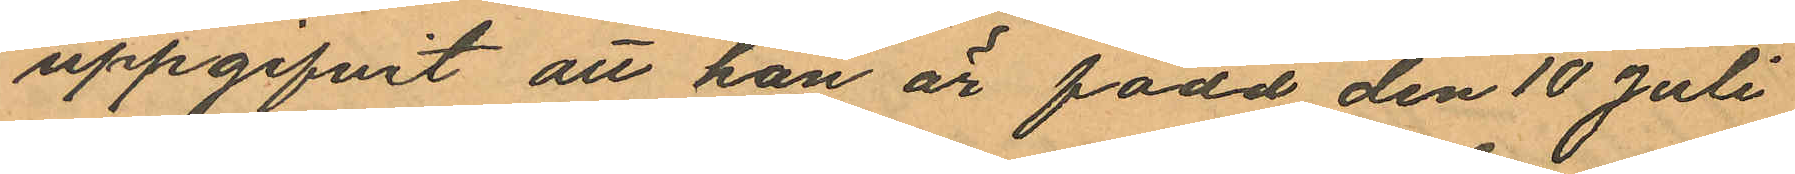uppgifvit att han är född den 10 Juli
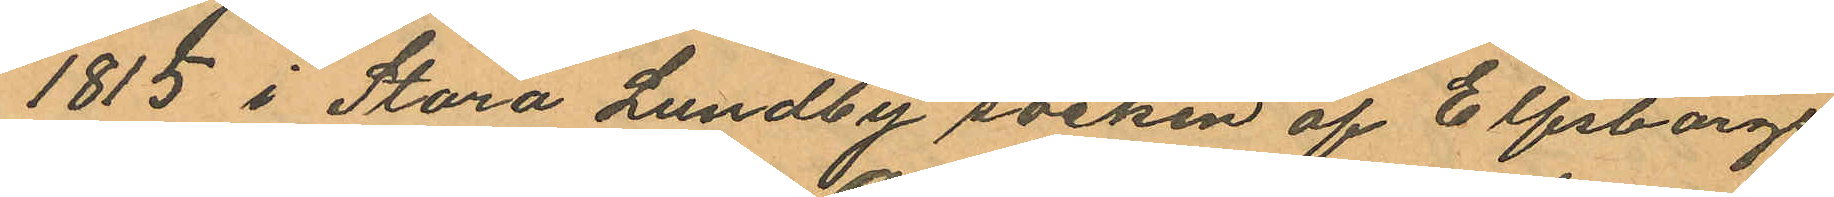1815 i Stora Lundby socken af Elfsborgs
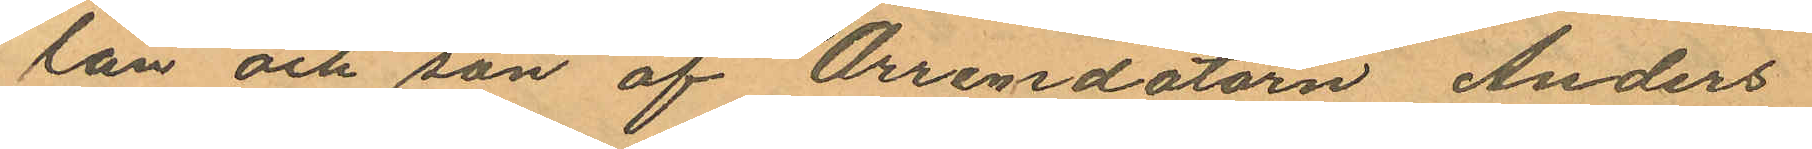län och son af Arrendatorn Anders
